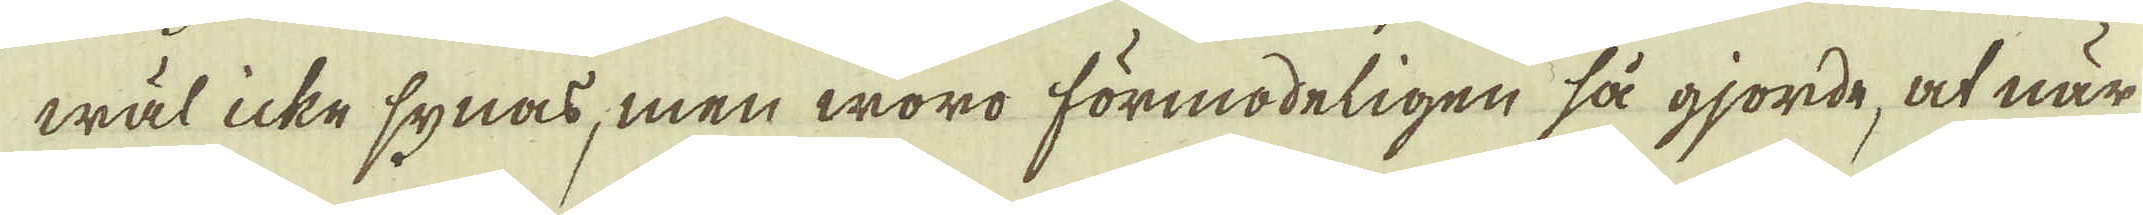wäl icke synas, men woro förmodeligen så gjorde, at när
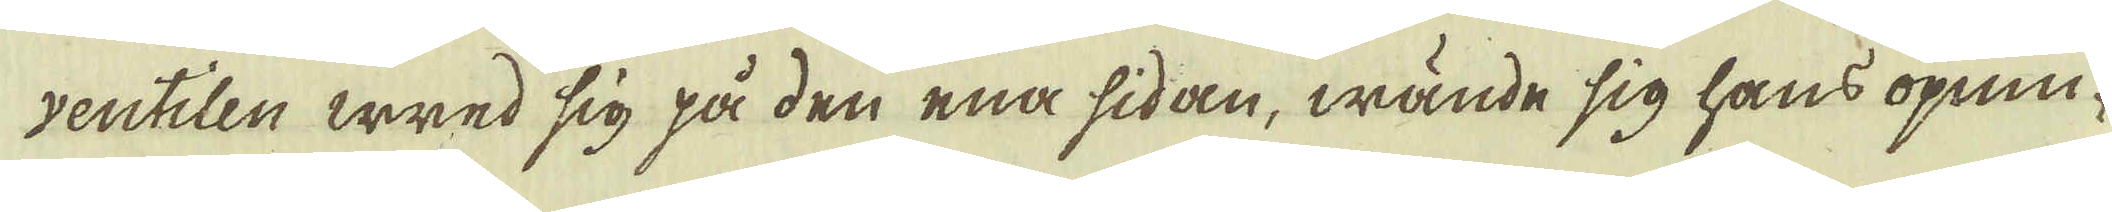ventilen wred sig på den ena sidan, wände sig hans öpnin-
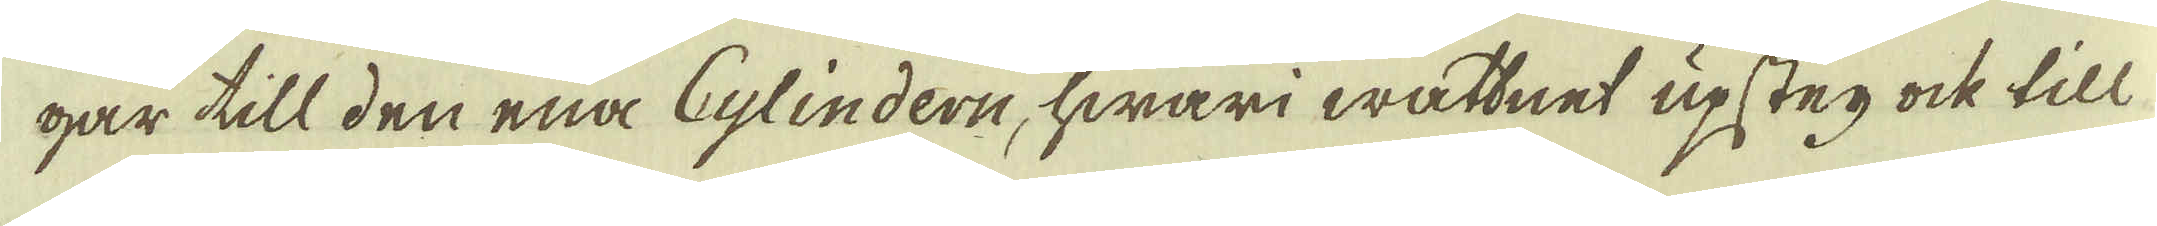gar till den ena Cylindern, hwari wattnet upsteg ock till
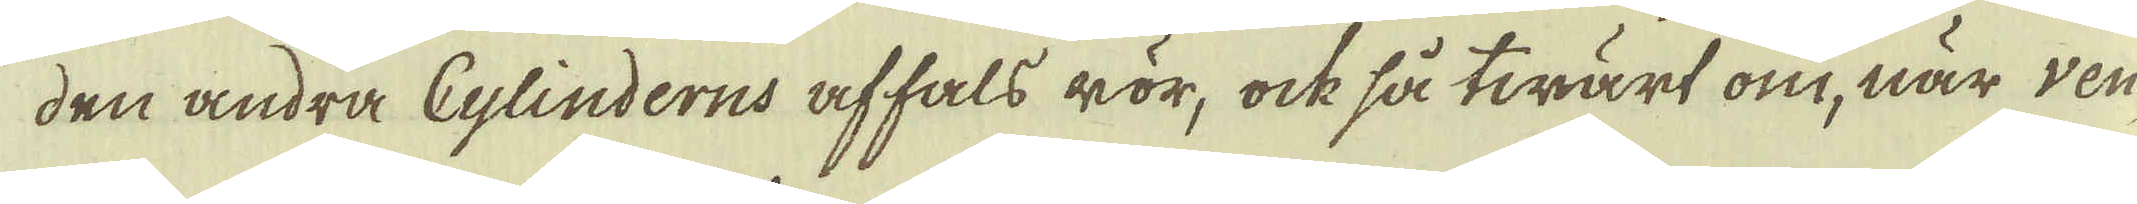den andra Cylinderns affals rör, ock så twärt om, när ven-
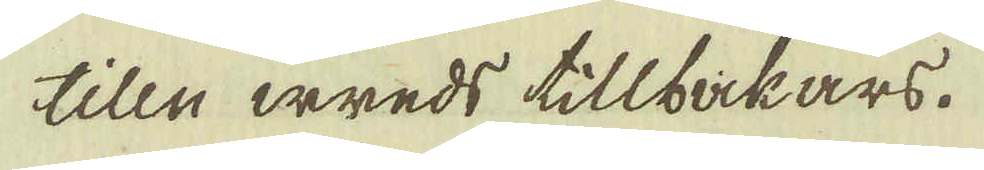tilln wreds tillbäkars.
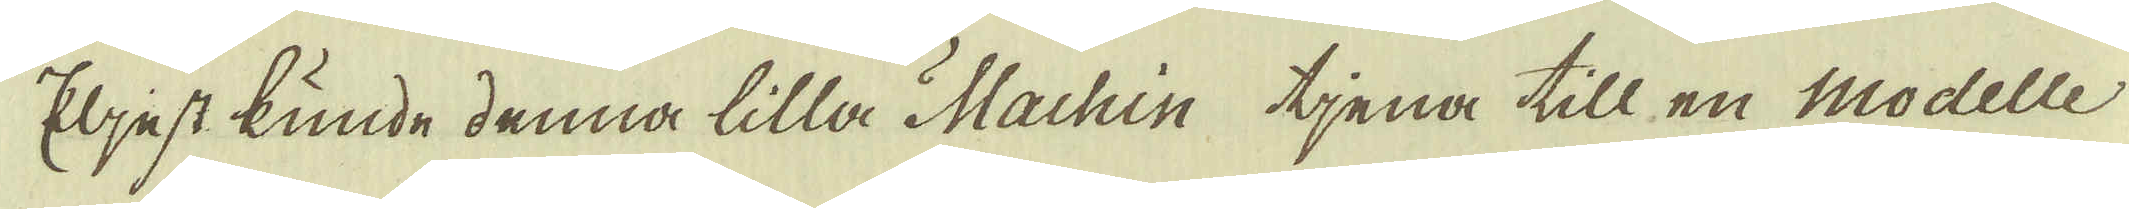Eljest kunde denna lilla Machin tjena till en Modelle
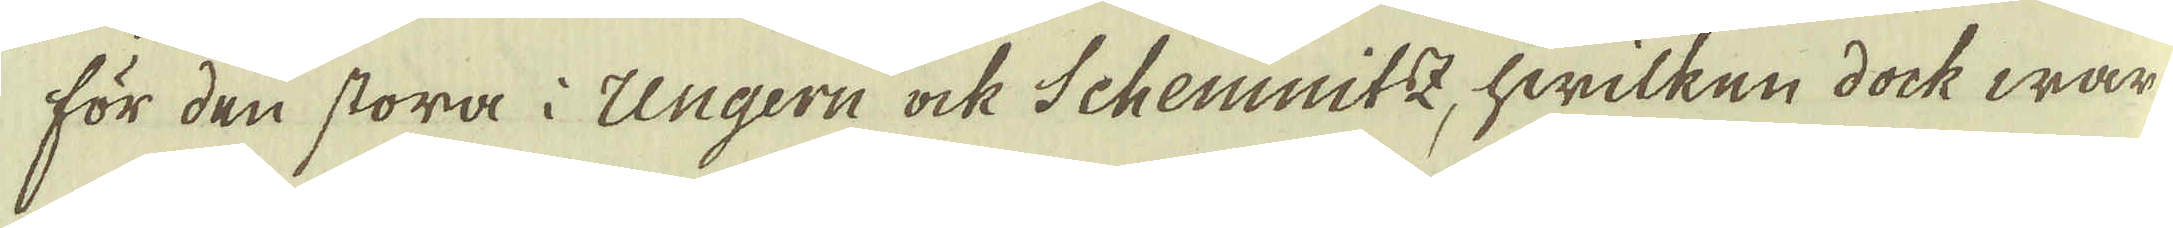för den stora i Ungern ock Schemnitz, hwilken dock war
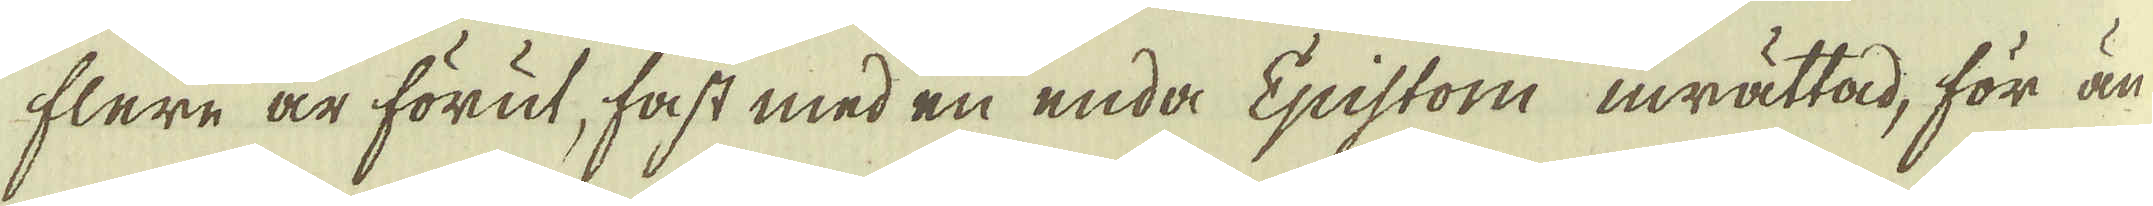flere är förut, fast med en enda Epistom inrättad, för än-
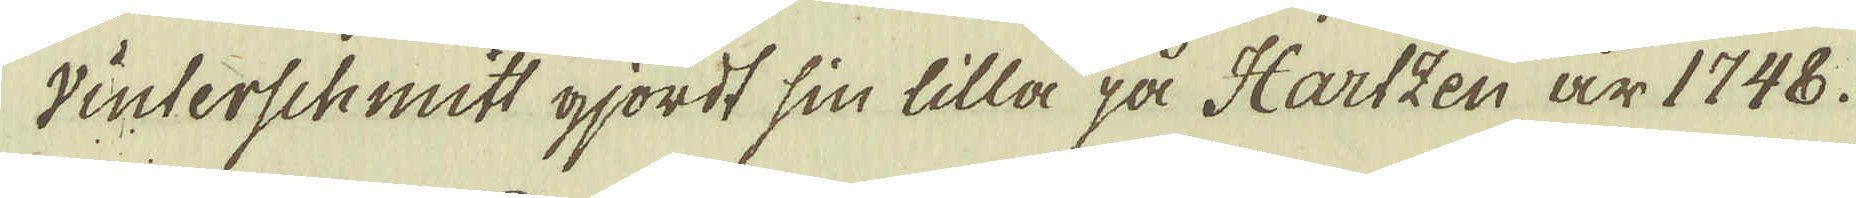vinterschmitt gjordt sin lilla på Hartzen är 1748.
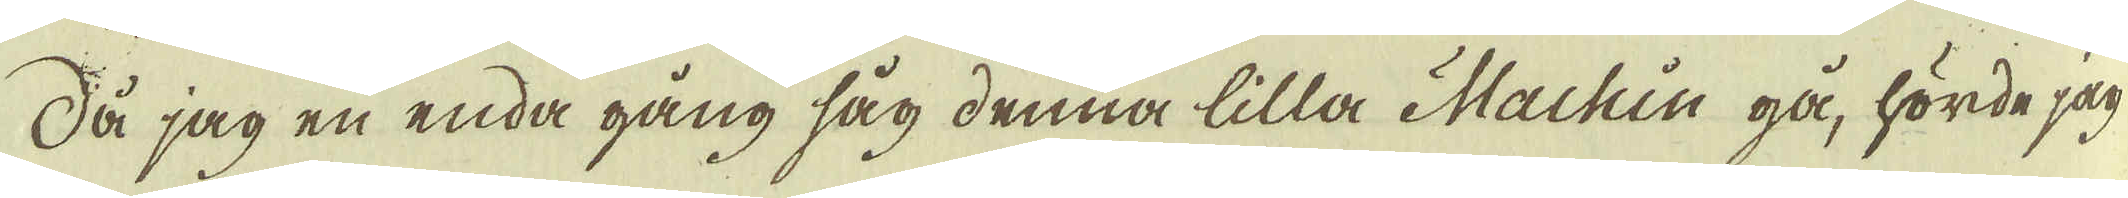Så jag en enda gång såg denna lilla Machin gå, hörde jag
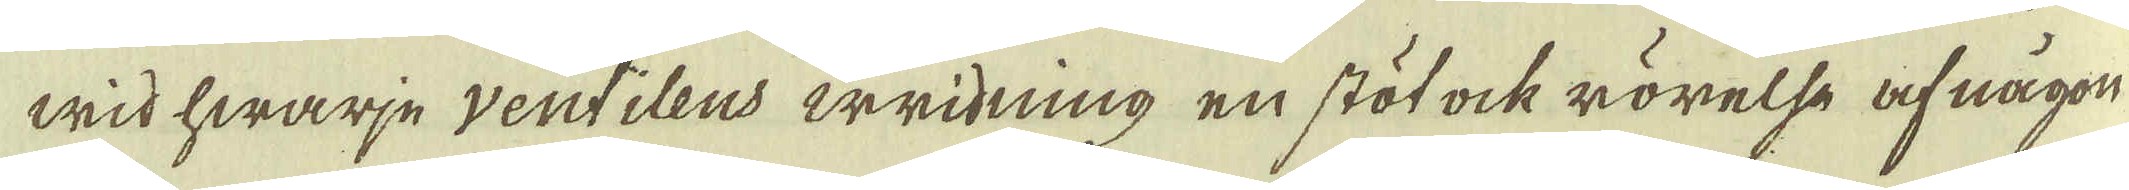wid hwarje ventilens wridning en stöt ock rörelse af någon
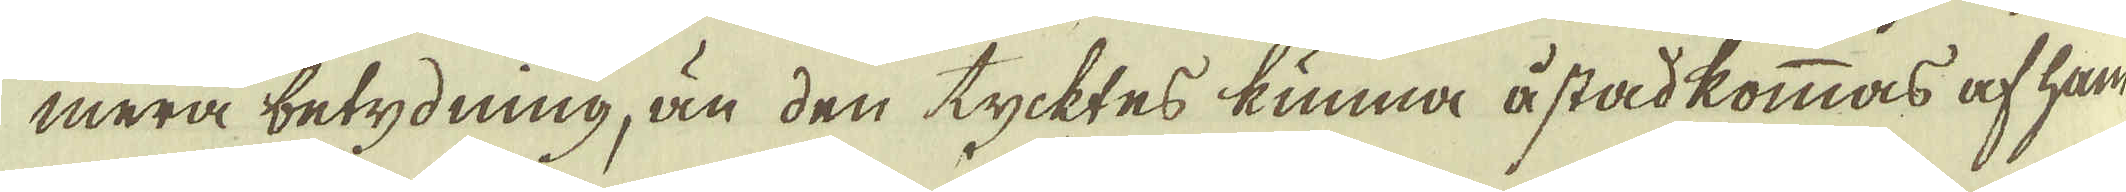mera betydning, än den tycktes kunna åstadkommas af ham
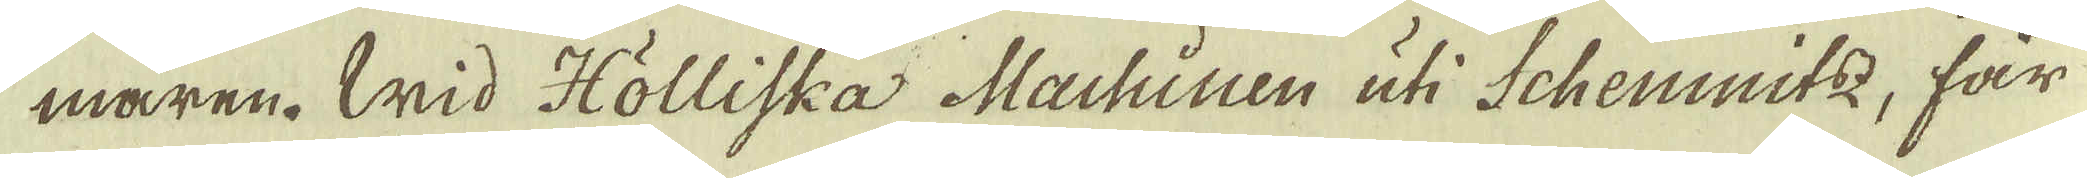maren. Wid Hölliska Machiuen uti Schemmitz, får
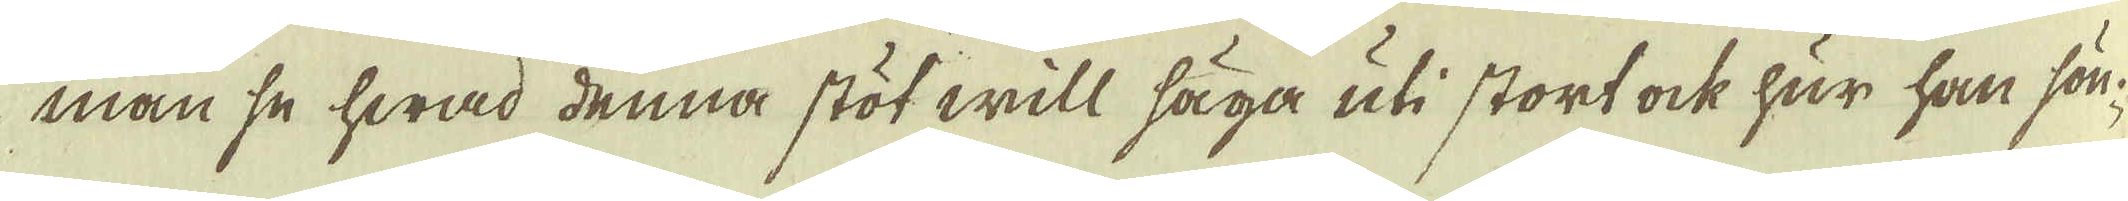man se hwad denna stöt will säga uti stort ock hur han sön-
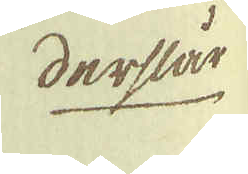derslår
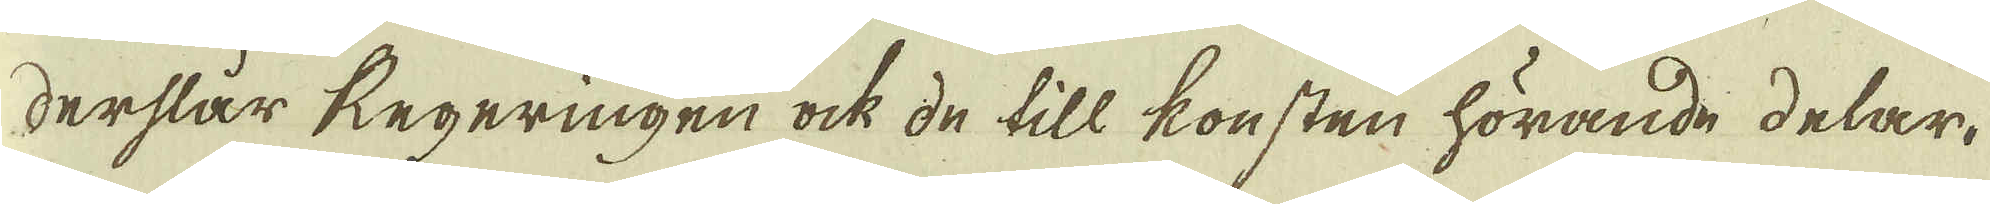derslår Regeringen ock de till konsten hörande delar.
